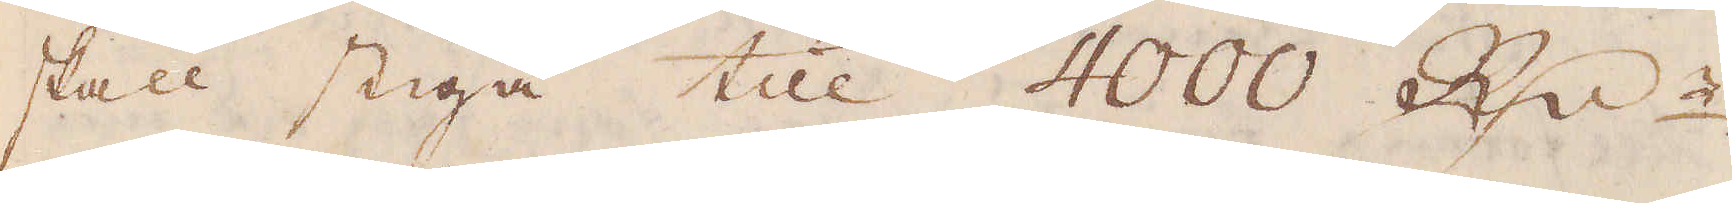skall stiga till 4000 R:dr.
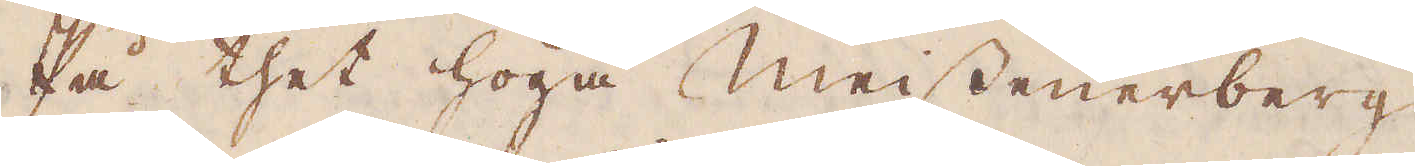På thet höga Meissenerberg
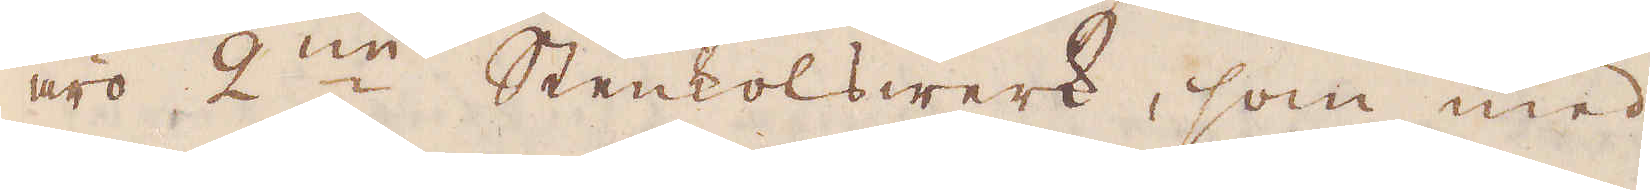äro 2:ne Stenkolswerk, som med
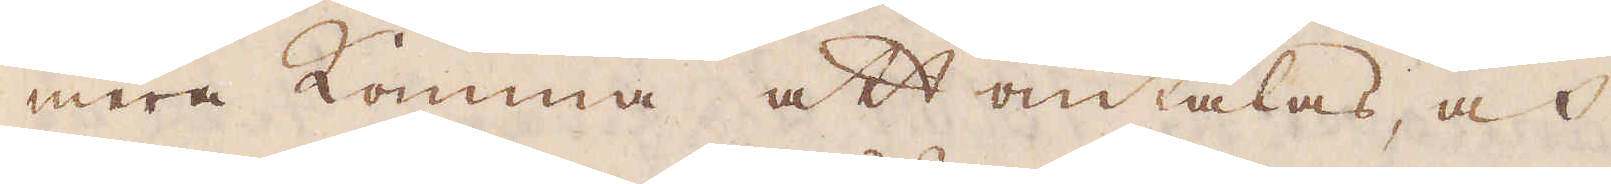mera komma att omtalas, och
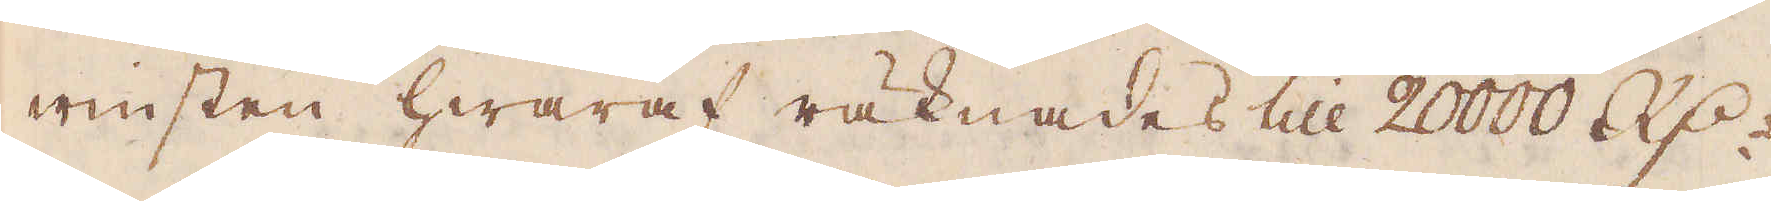winsten hwaraf räknades till 20000 R:dr
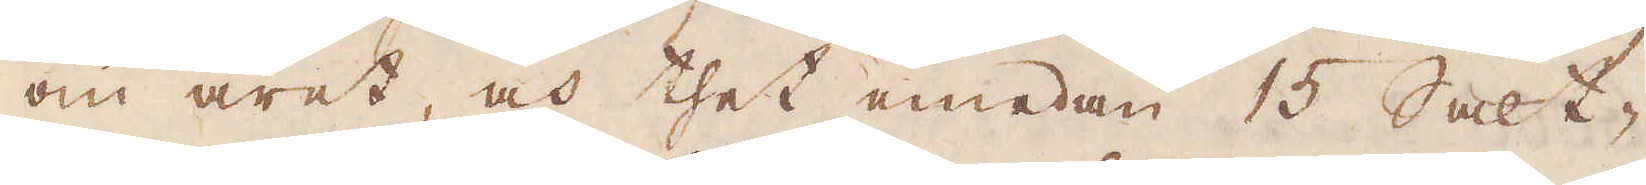om året, och thet emedan 15 Salt-
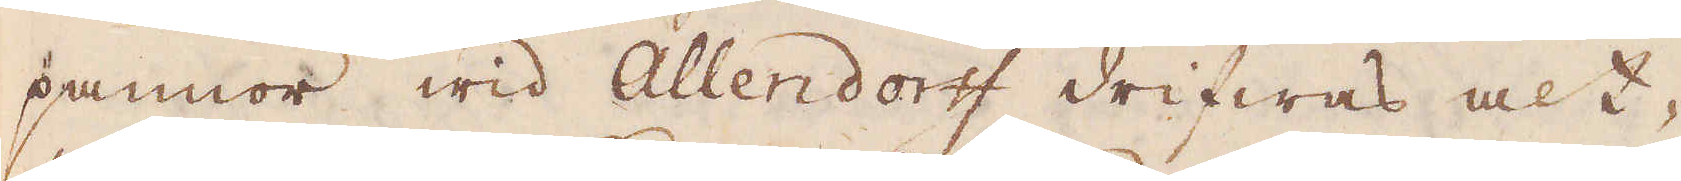pannor wid Allendorff drifwas alt-
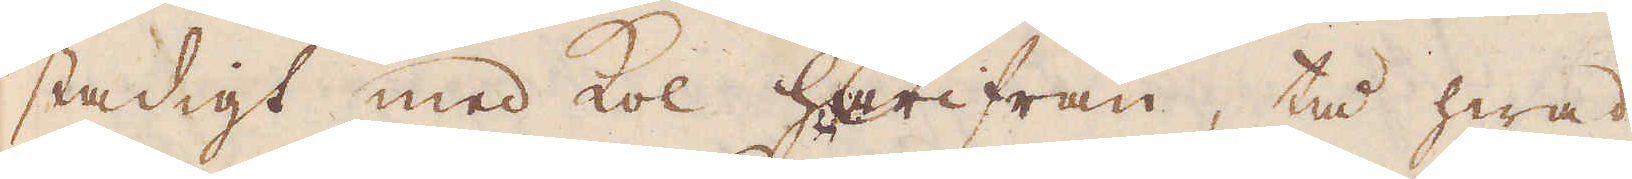stadigt med kol härifrån, tå hwad
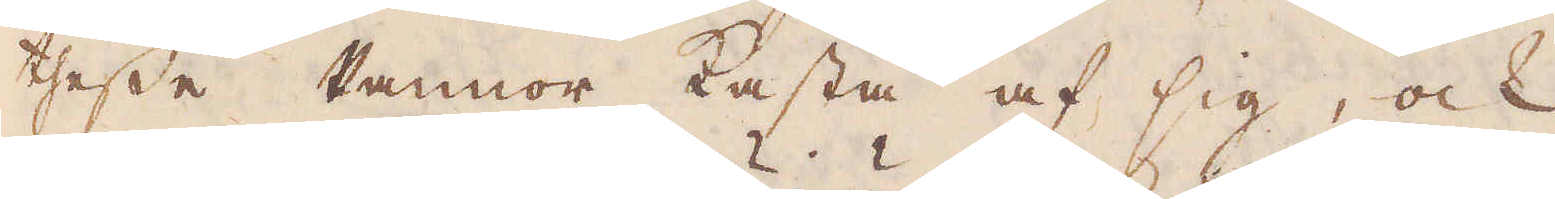thesse Pannor kasta af sig, ock
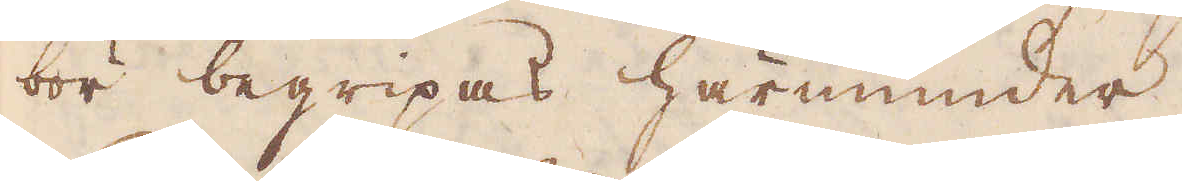bör begripas härinunder.
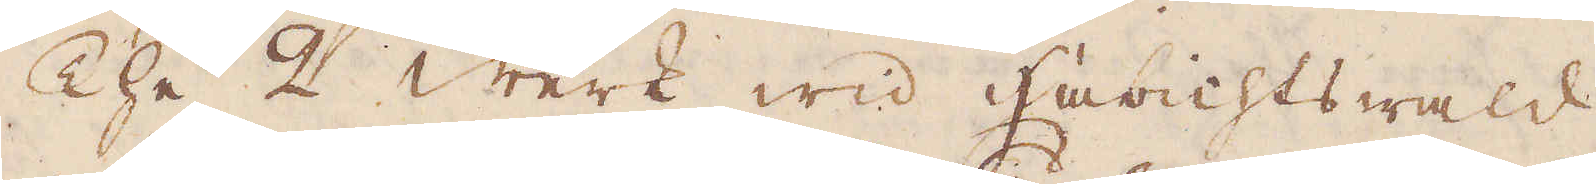The 2 Werk wid Habichtswald,
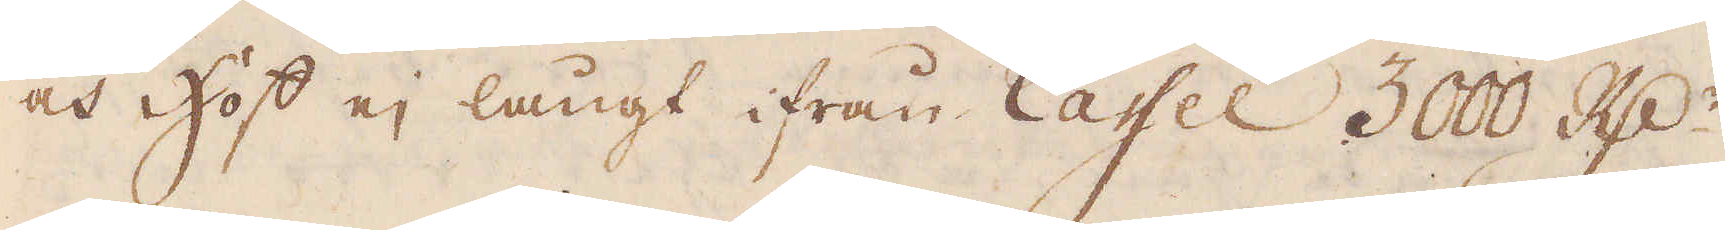och Hoff ej långt ifrån Caffel 3000 R:dr
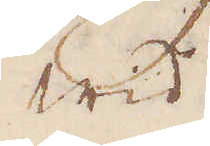wid
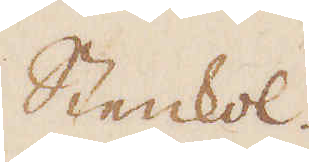Stenkol.
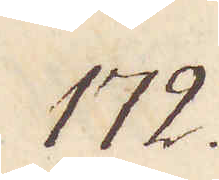172.
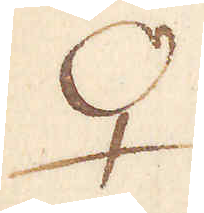♀
